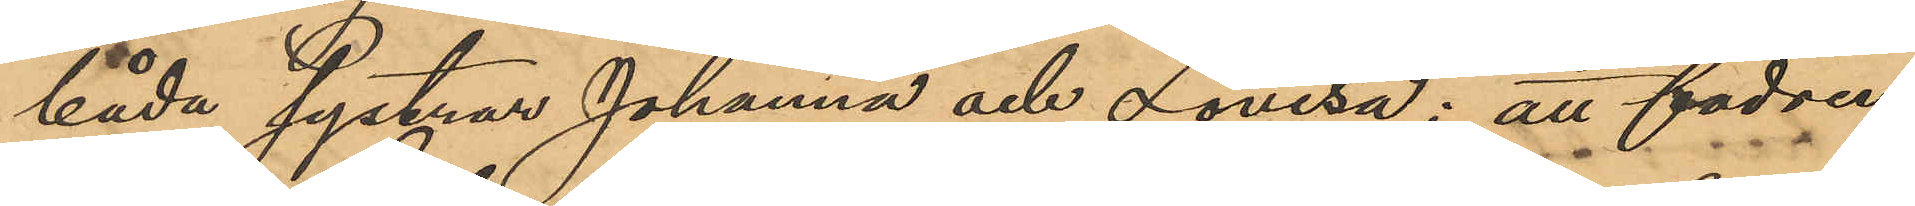båda systar Johanna och Lovisa; att fadren,
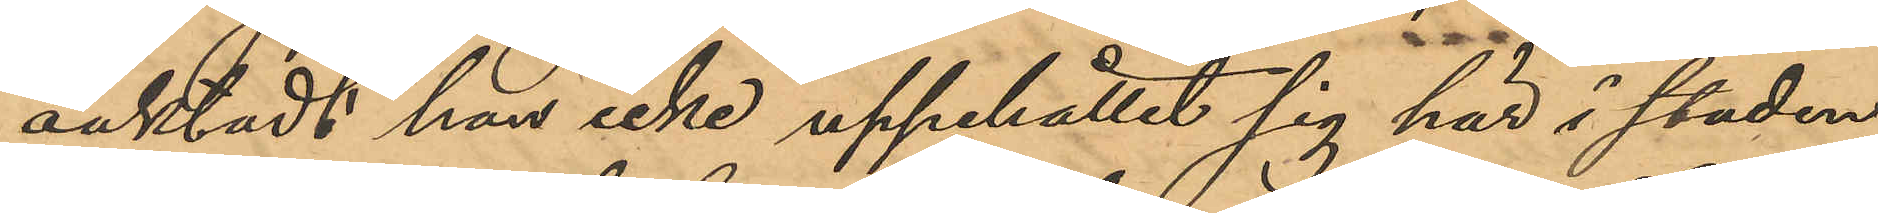oaktadt han icke uppehållit sig här i staden,
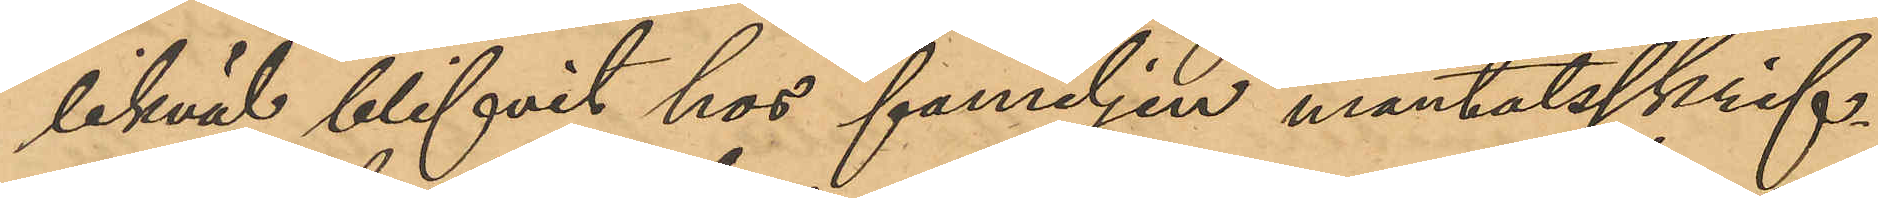likväl blifvit hos familjen mantalsskrif¬
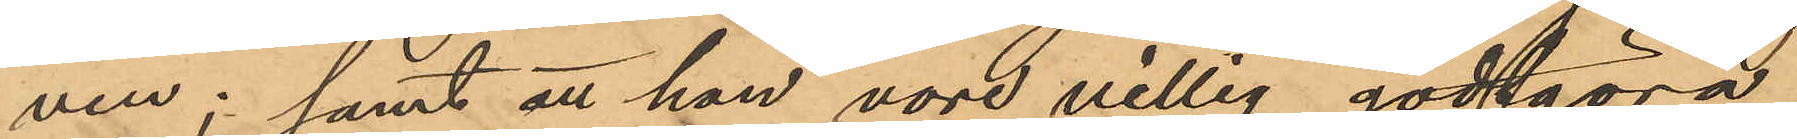ven; samt att han vore villig godtgöra
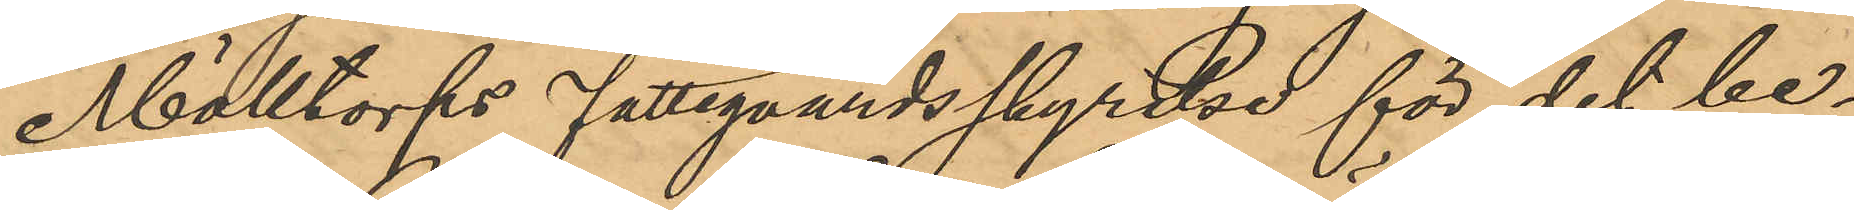Mölltorps Fattgvårdsstyrelse för det be¬
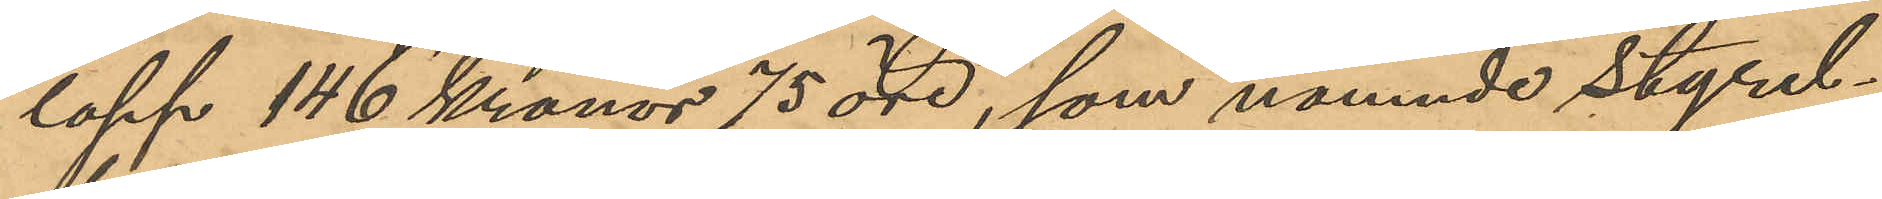lopp 146 Kronor 75 öre, som nämnde styrel¬
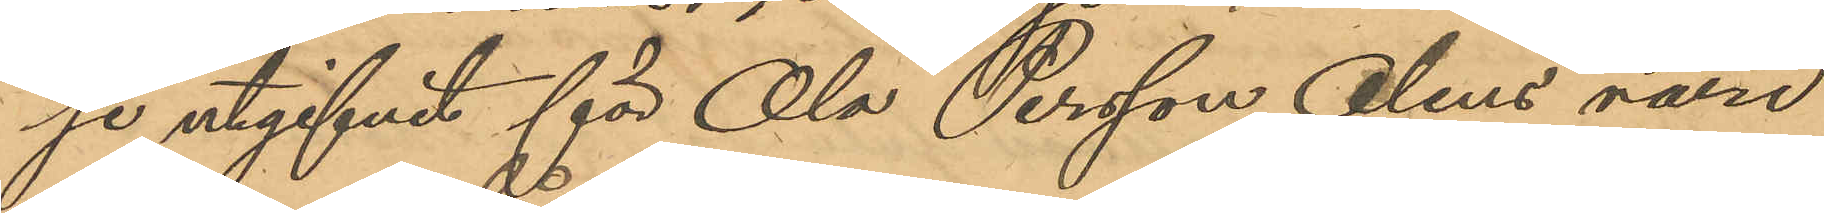se utgifvit för Ola Persson Olins vård
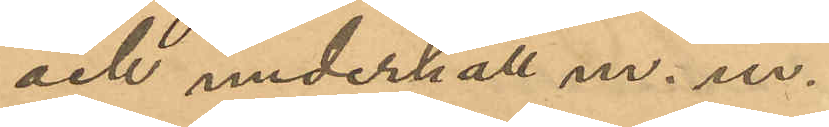och underhåll m.m.
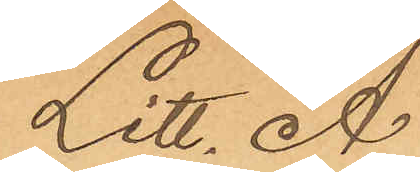Litt. A
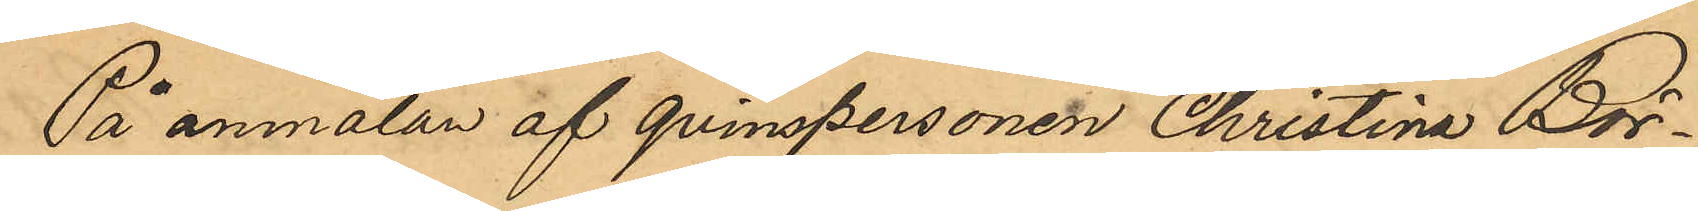På anmälan af qvinspersonen Christina Bör¬
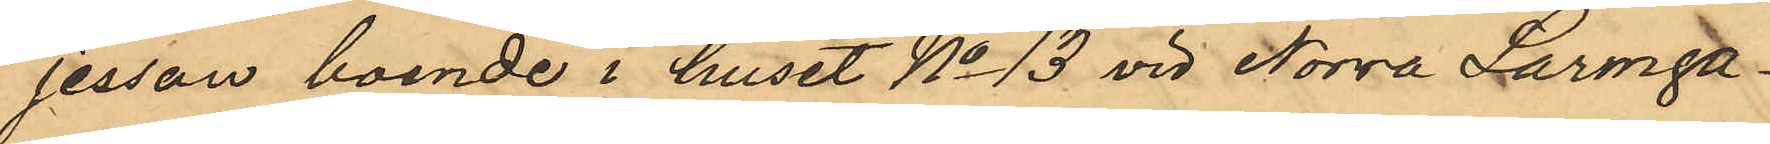jesson boende i huset No 13 vid Norra Larmga¬
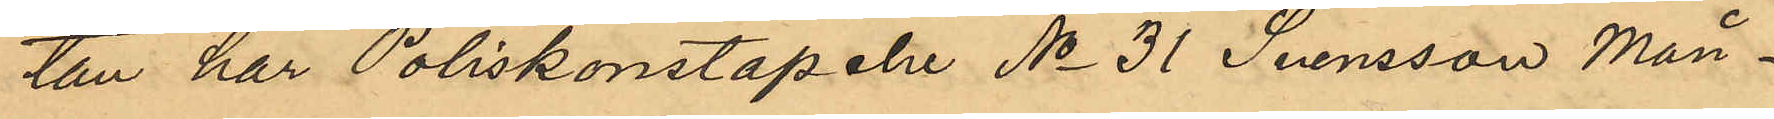tan har Poliskonstapeln No 31 Svensson Mån¬
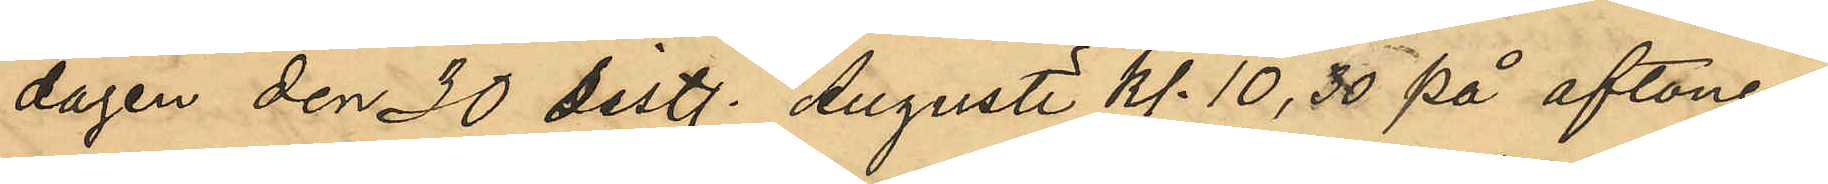dagen den 30 sist. Augusti Kl 10,30 på aftonen
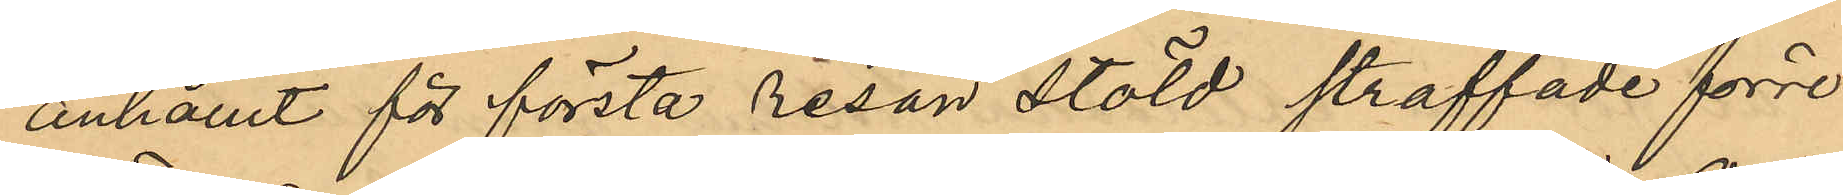anhållit för första resan stöld straffade förre
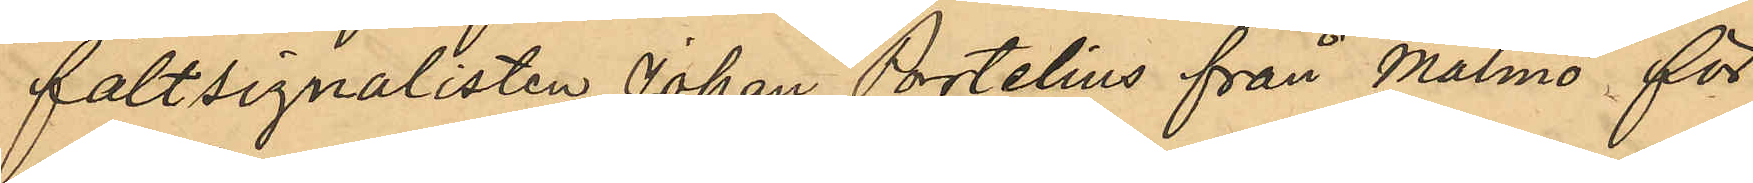fältsignalisten Johan Portelius från Malmö för
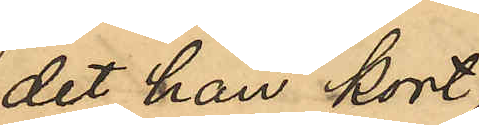det han kort
